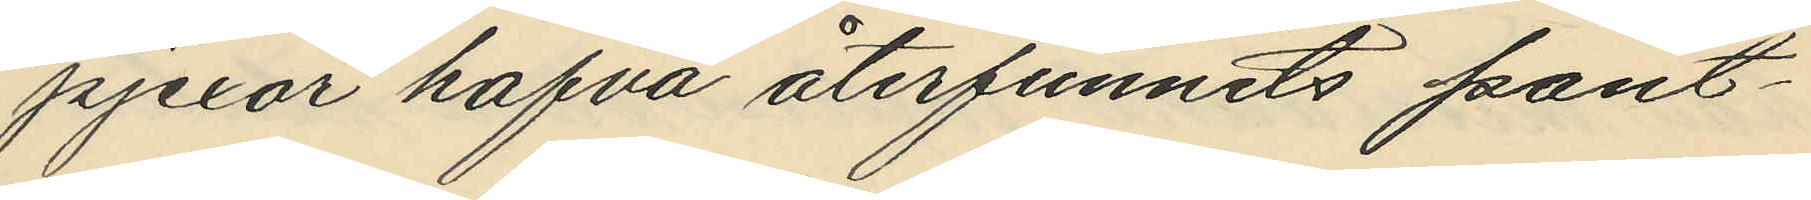pjexor hafva återfunnits pant¬
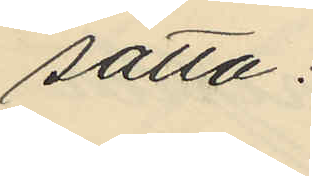satta:
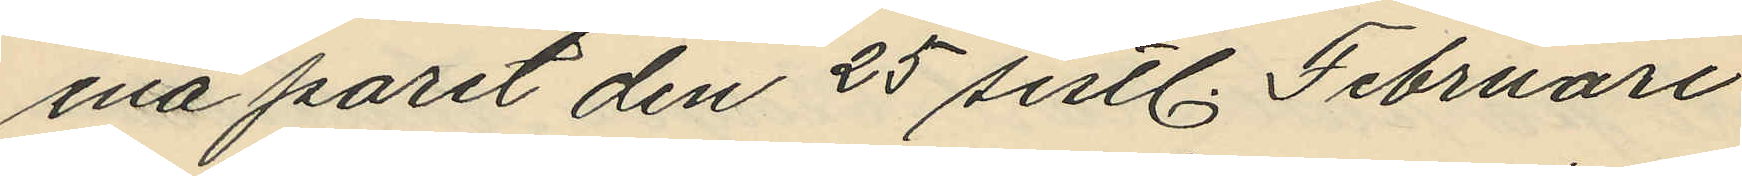ena paret den 25 sistl. Februari
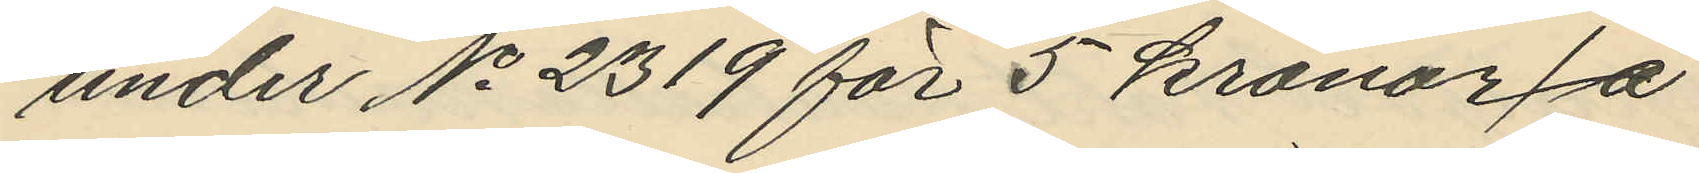under No 2319 för 5 kronor få
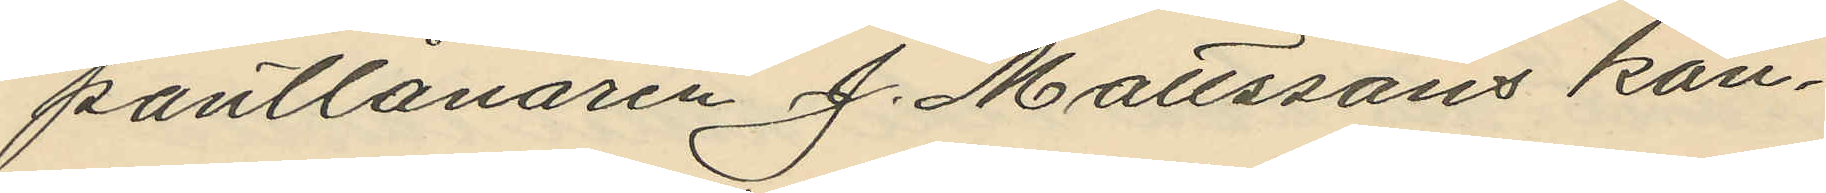pantlånaren J. Matssons kon¬
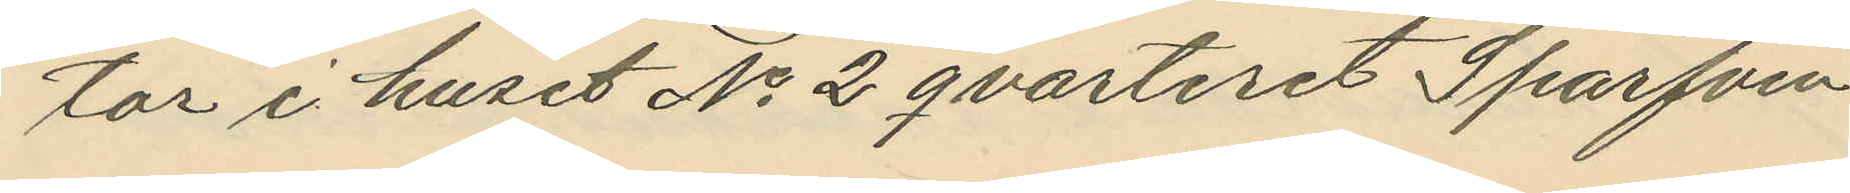tor i huset No 2 qvarteret Sparfven
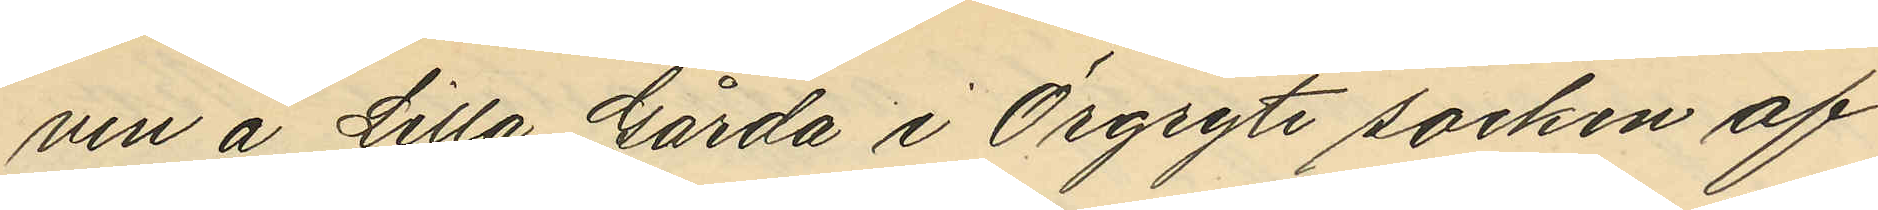ven å Lilla Gårda i Örgryte socken af
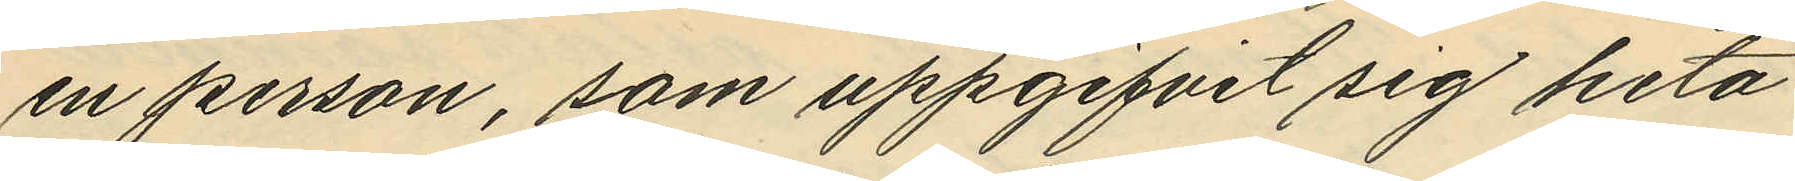en person, som uppgifvit sig heta
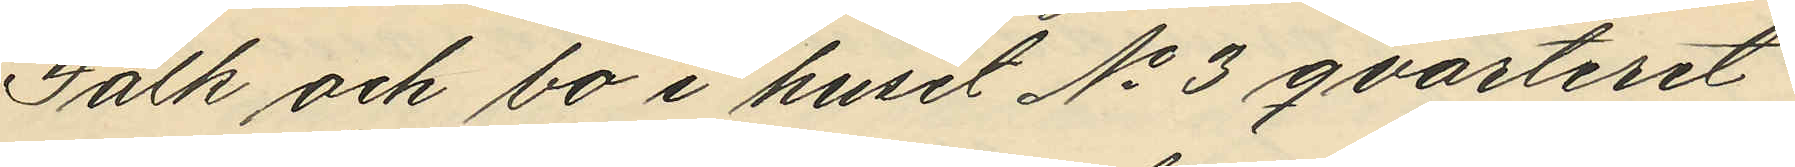Falk och bo i huset No 3 qvarteret
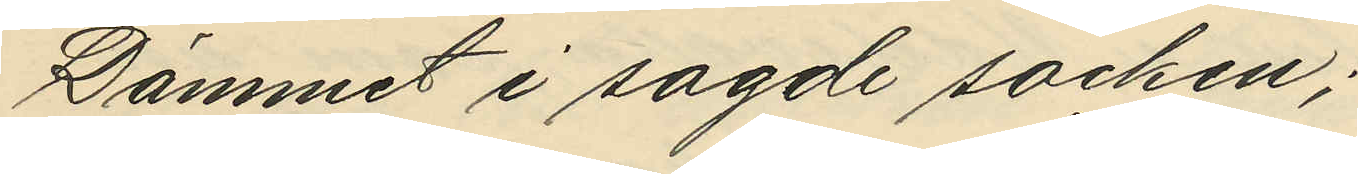Dämmet i sagde socken;
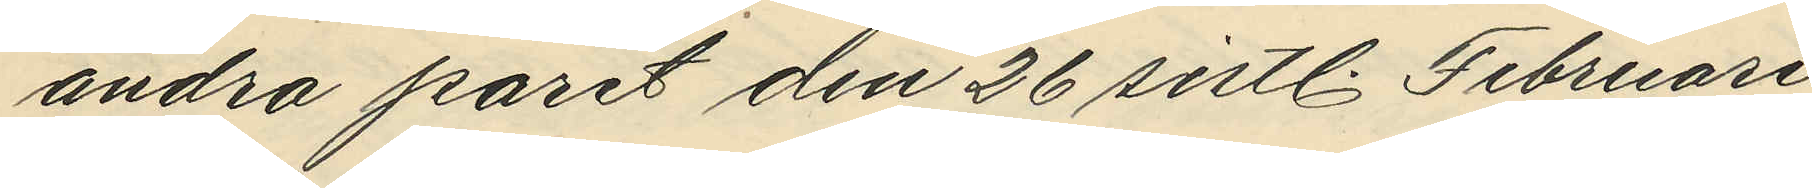andra paret den 26 sistl. Februari
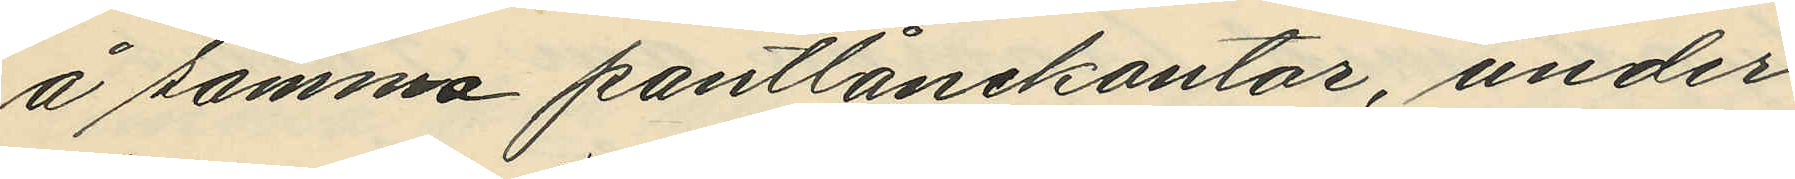å samma pantlånekontor, under
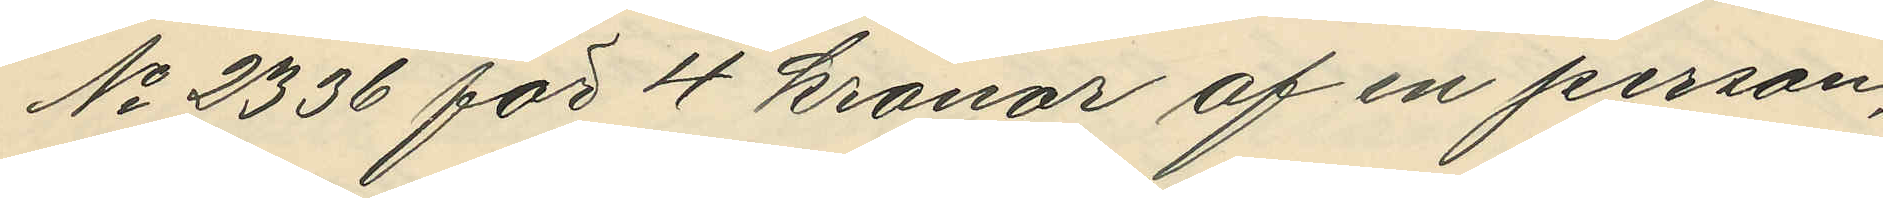No 2336 för 4 kronor af en person
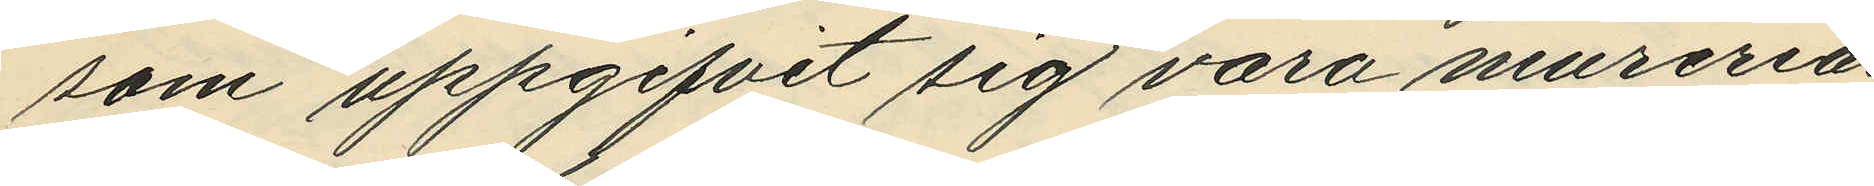som uppgifvit sig vara mureriar¬
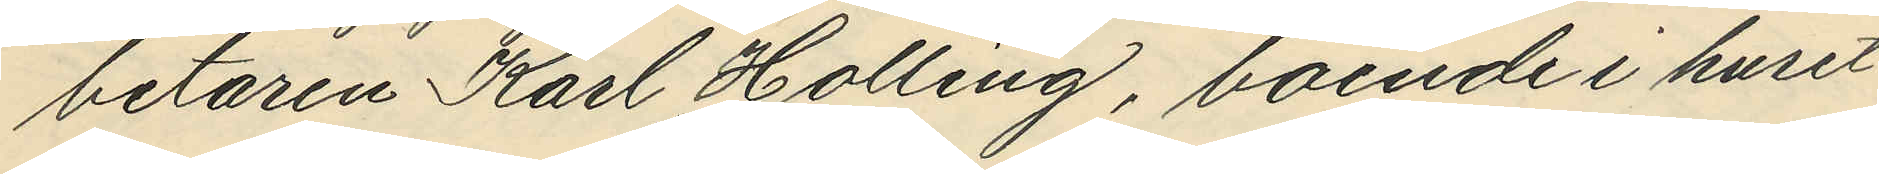betaren Karl Halling, boende i huset
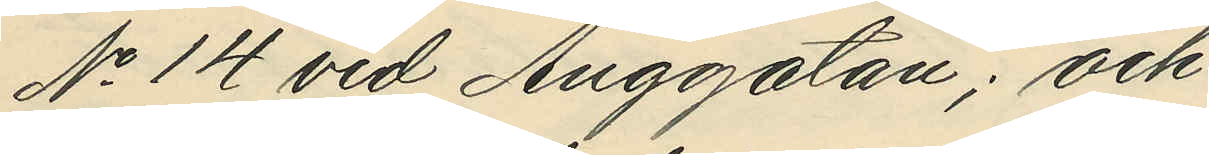No 14 vid Änggatan; och 
